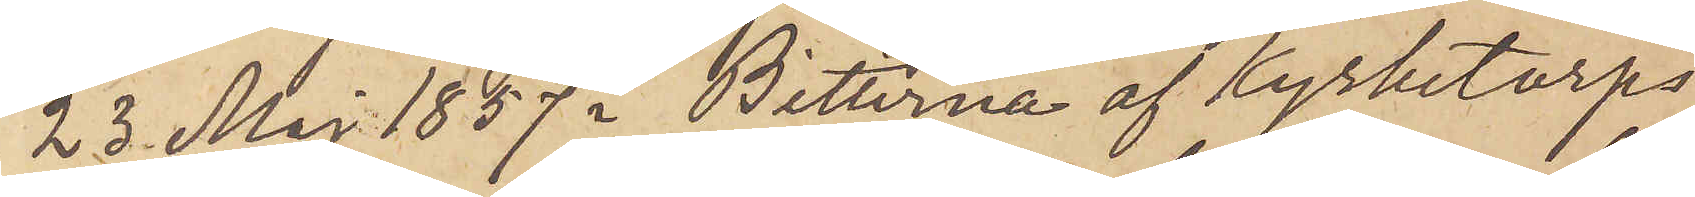23 Maj 1857 i Bitterna af Kyrketorps
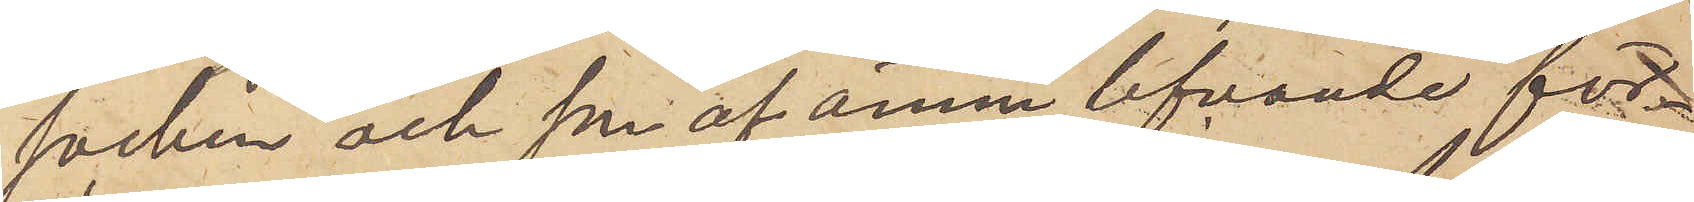socken och son af ännu lefvande för¬
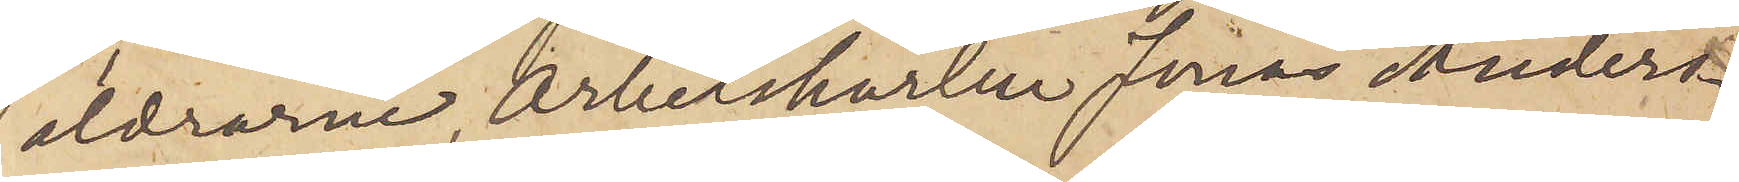äldrarne Arbetskarlen Jonas Anders¬
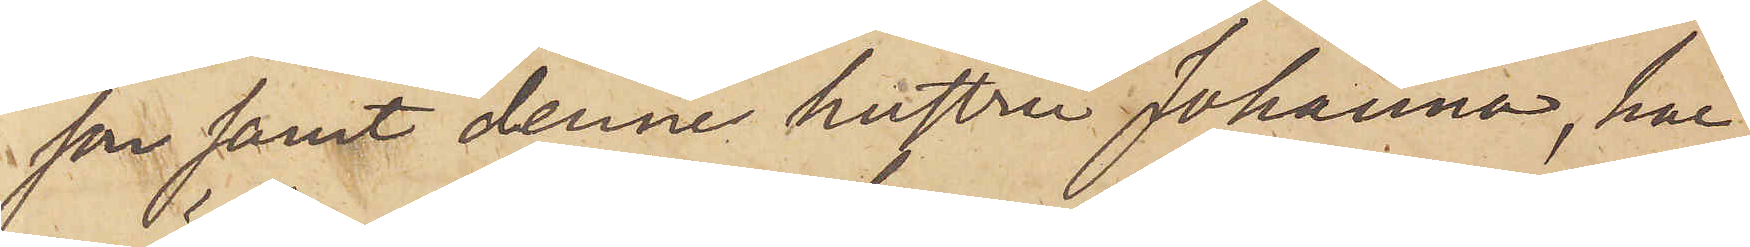son samt denne hustru Johanna, har
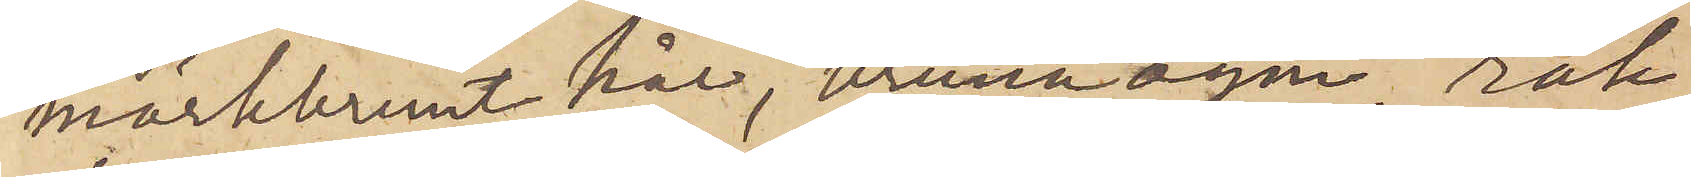mörkbrunt hår, bruna ögen, rak
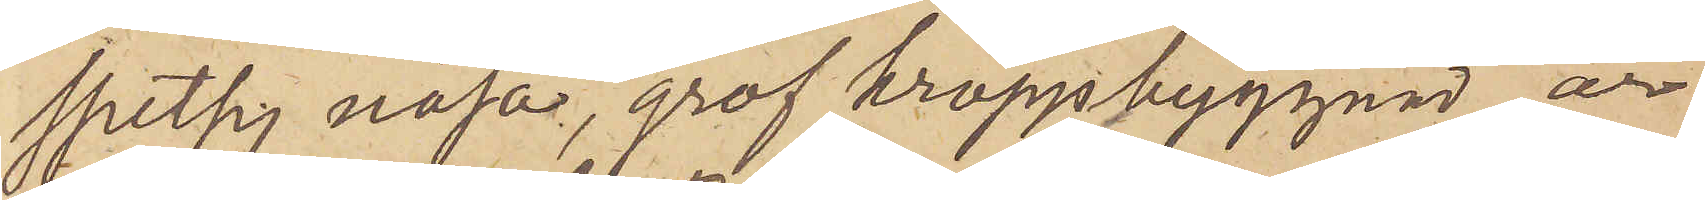spetsig näsa, grof kroppbyggnad, är
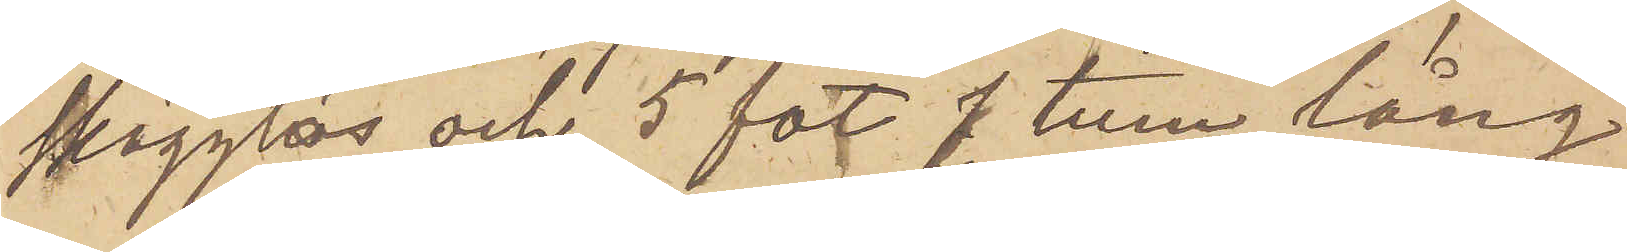skägglös och 5 fot 7 tum lång.
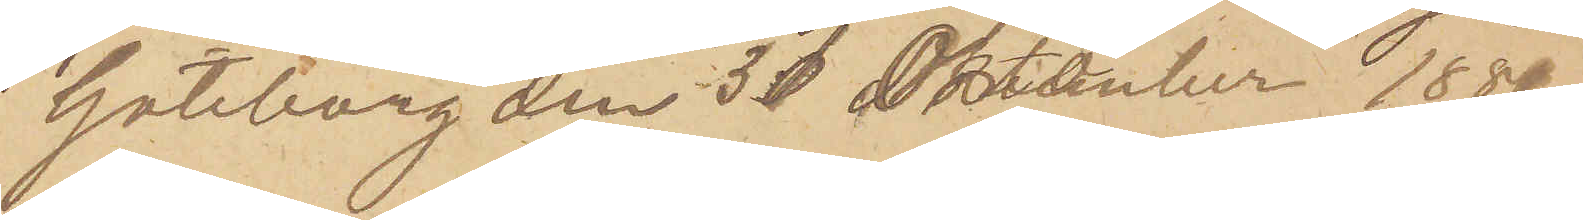Göteborg den 31 Oktober 1880.
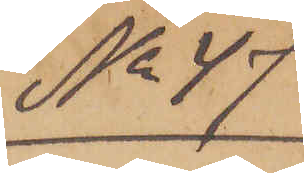No 47.
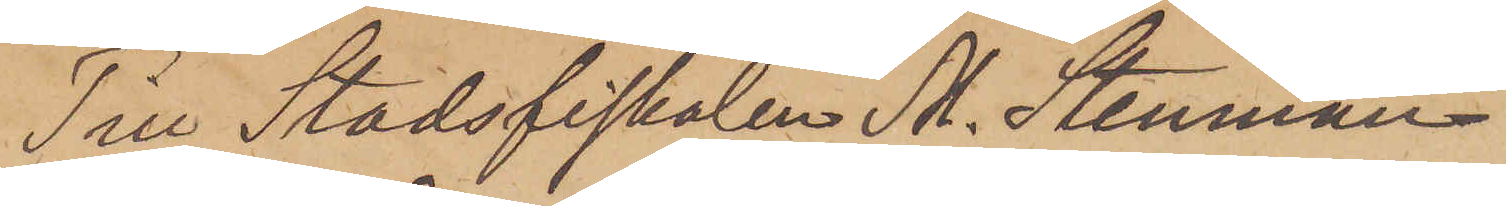Till Stadsfiskalen M. Stenman
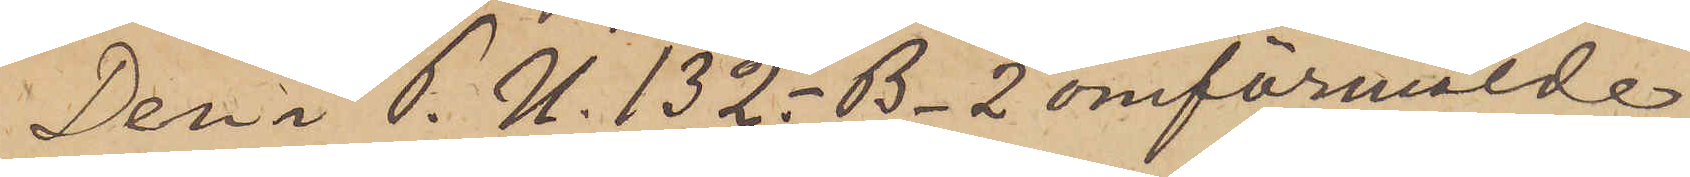Den P. U. 132. - B - 2 omförmälde
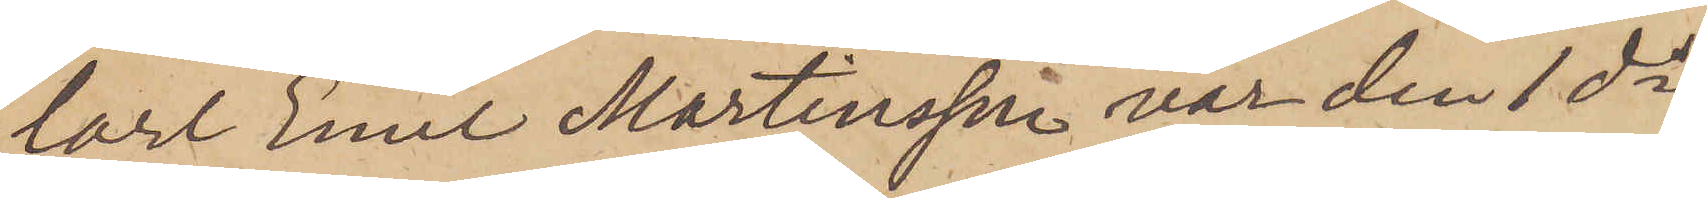Carl Emil Martinsson var den 1 ds
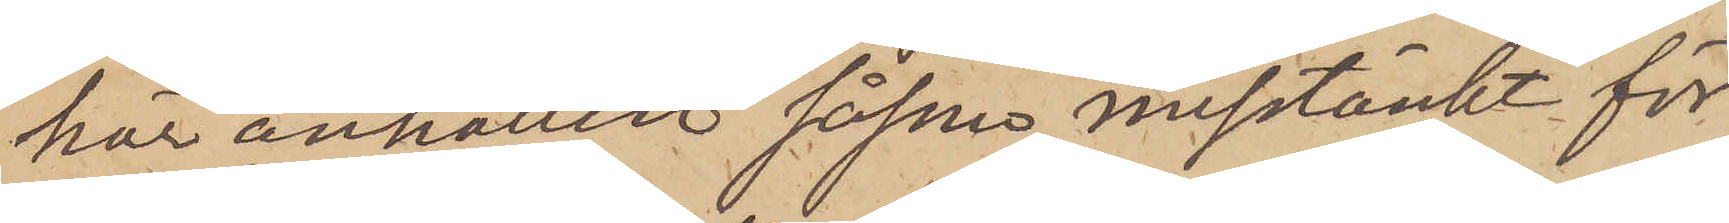här anhållen såsom misstänkt för
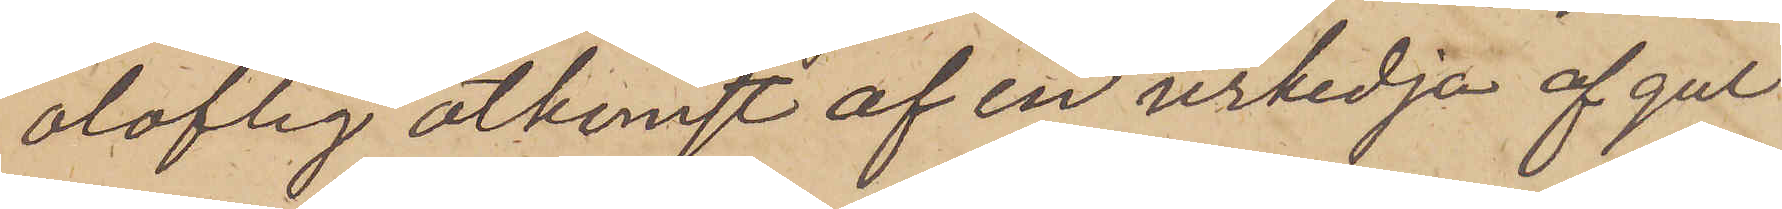oloflig åtkomst af en urkedja af gul
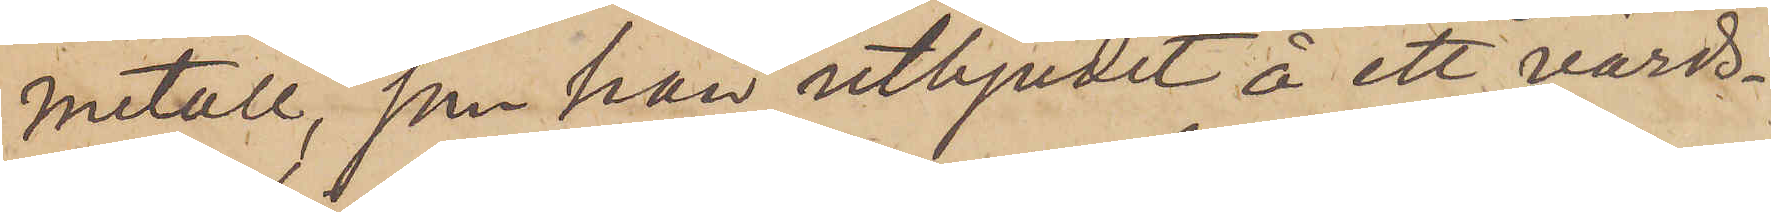metall, som han utbjudit å ett värds¬
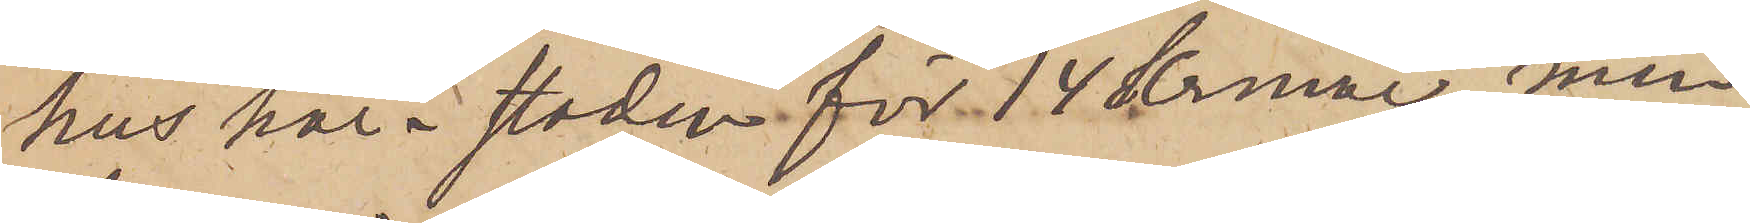hus här i staden för 14 Kronor, men
